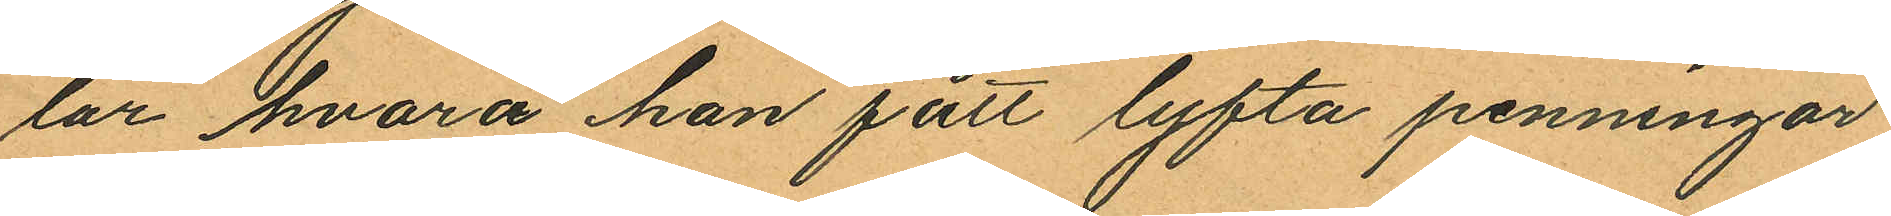lar hvarå han fått lyfta penningar
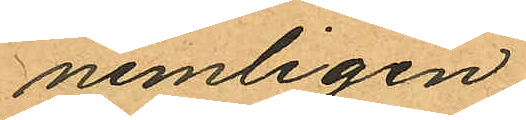nemligen
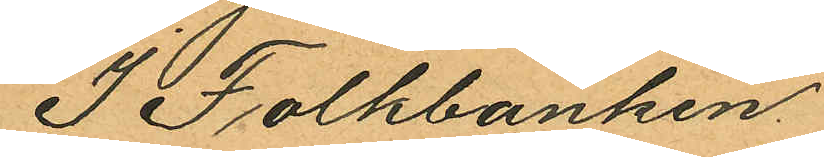I Folkbanken
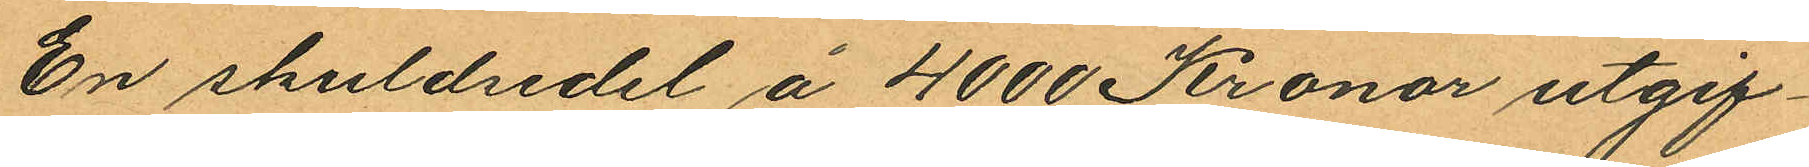En skuldsedel å 4000 Kronor utgif¬
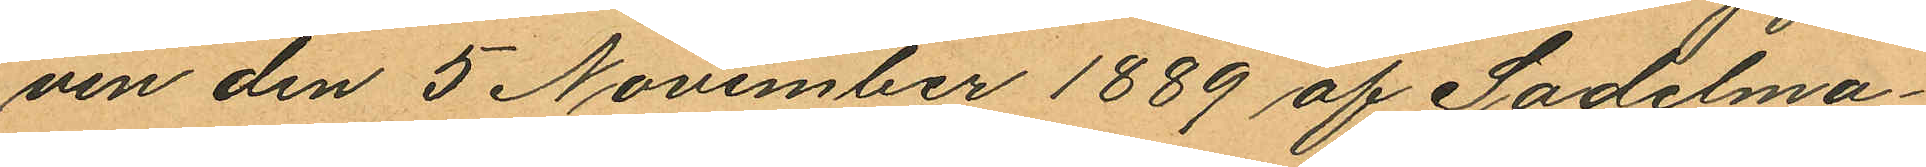ven den 5 November 1889 af Sadelma¬
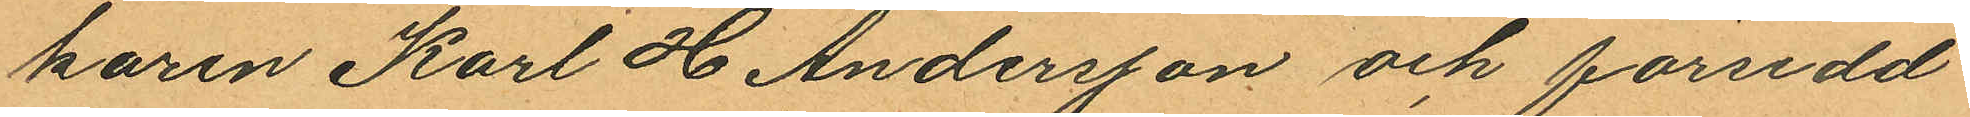karen Karl H Andersson och försedd
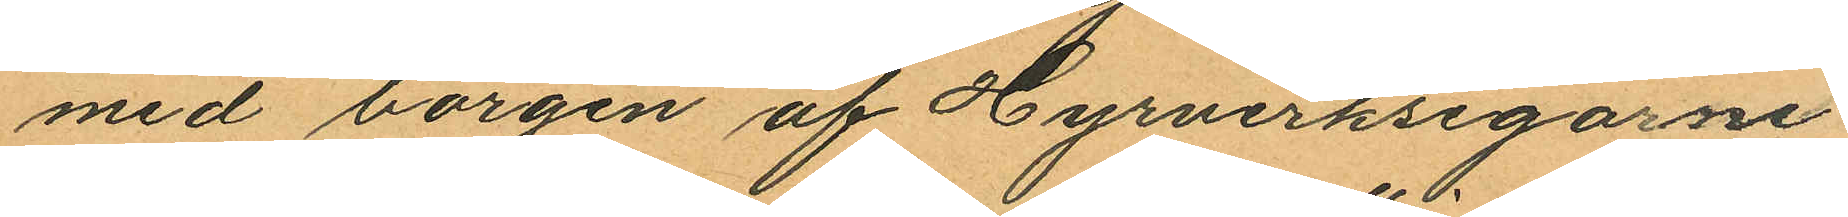med borgen af Hyrverksegarne
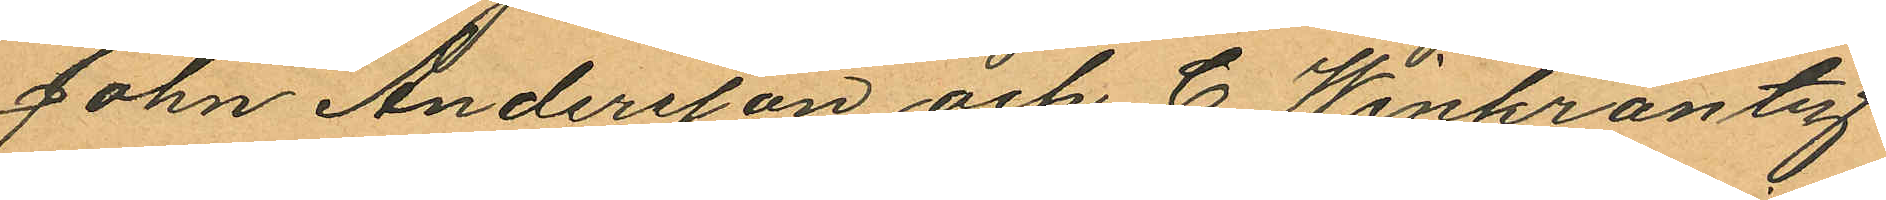John Andersson och C. Winkrantz
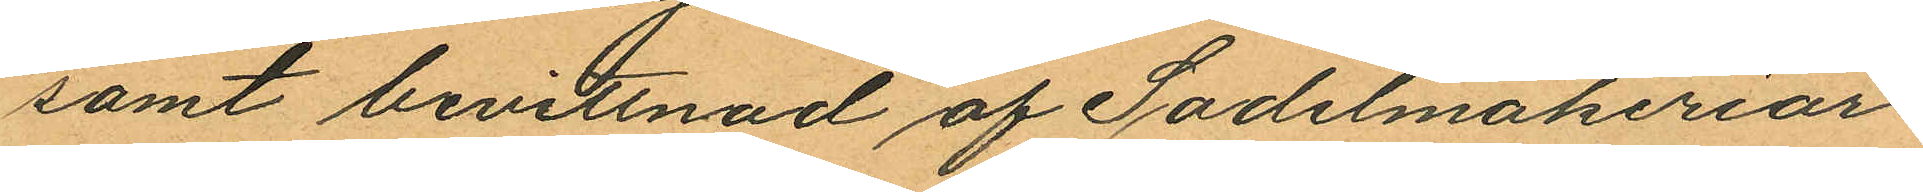samt bevittnad af Sadelmakeriar¬
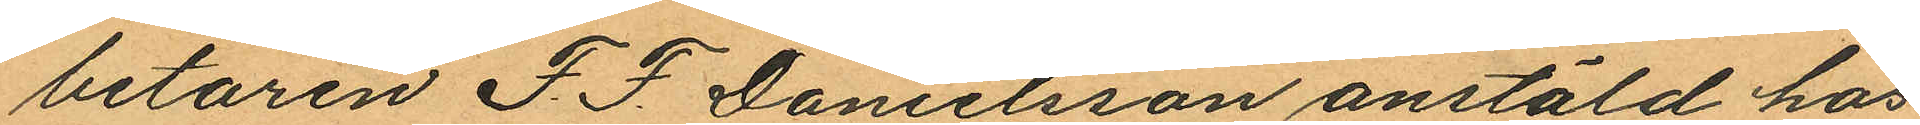betaren F. F. Danielsson anstäld hos
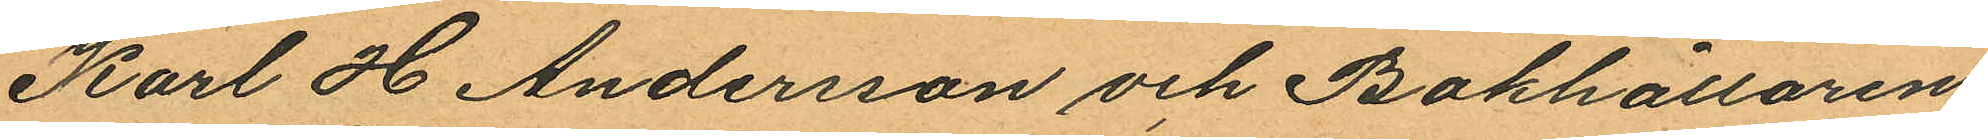Karl H Andersson och Bokhållaren.
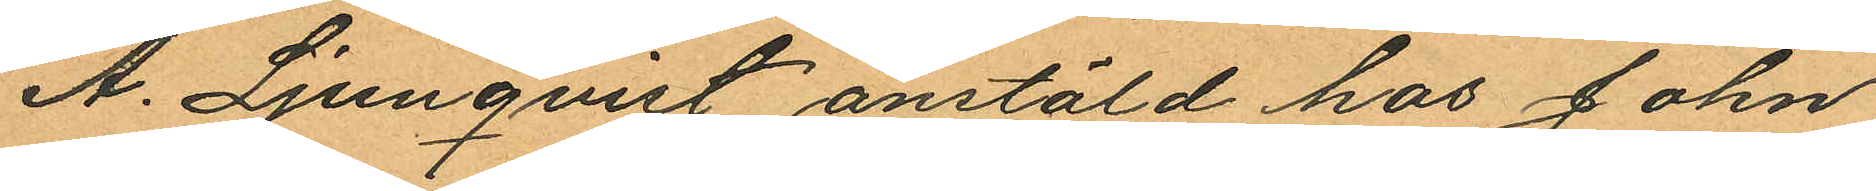A. Ljunqvist anstäld hos John
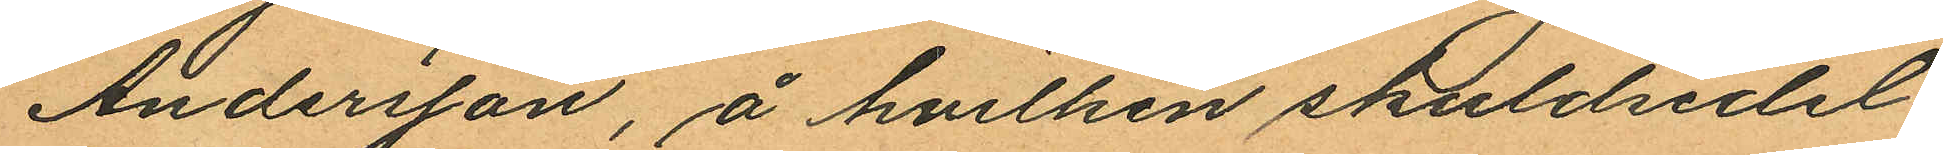Andersson, å hvilken skuldsedel
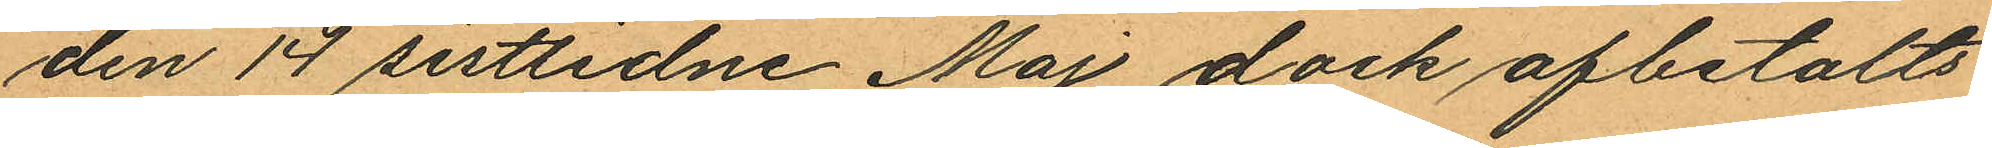den 14 sistlidne Maj dock afbetalts
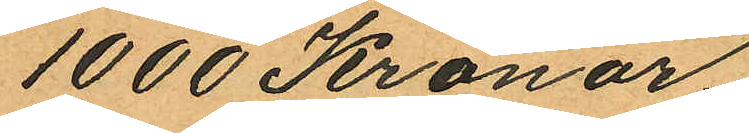1000 Kronor;
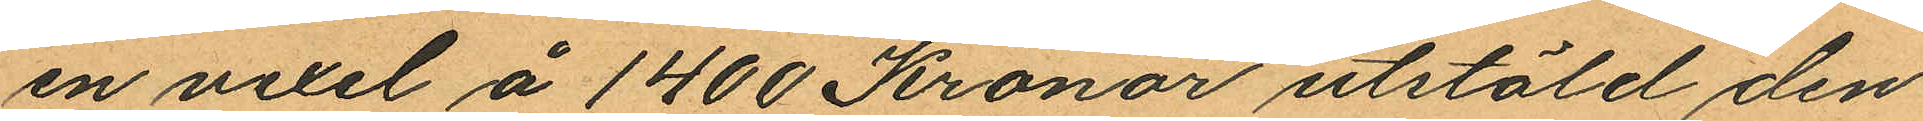en vexel å 1400 Kronor utstäld den
